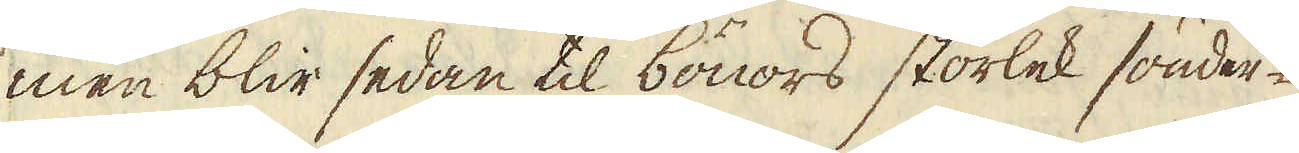men blir sedan til bönors storlek sönder-
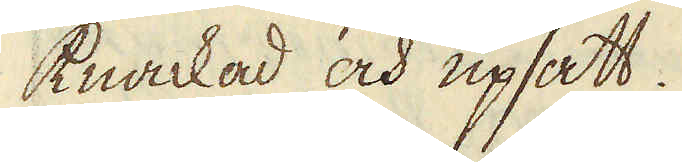knackad och upsatt.
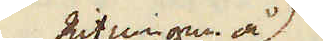Ritningen å
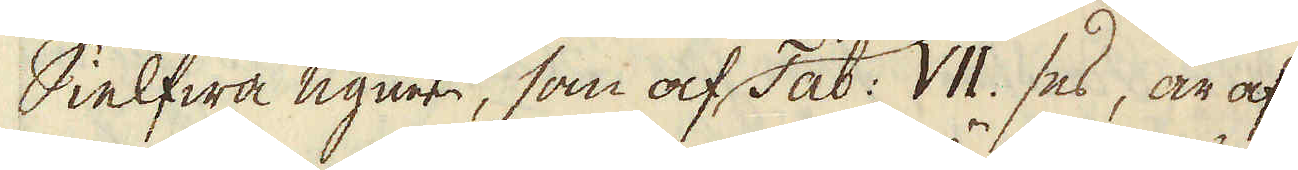Sielfwa ugnen, som af Tab: VII. ses, är af
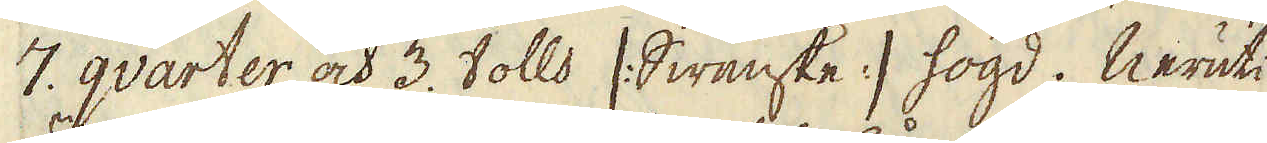7. qvarter och 3. tolls /:Swenske:/ högd. Neruti
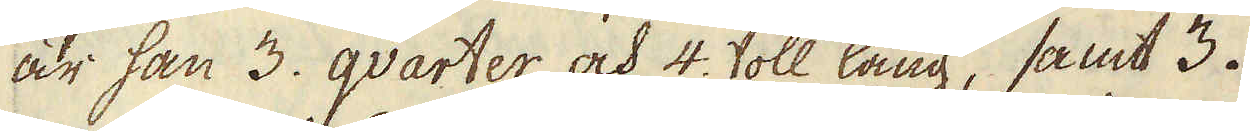är han 3. qvarter och 4. toll lång, samt 3.
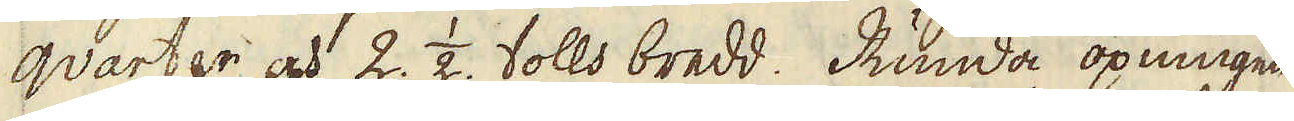qvarter och 2. 1/2. tolls bredd. Runda öpningen
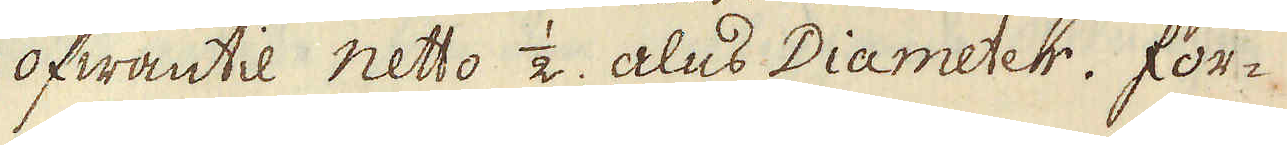ofwantil netto 1/2. alns Diameter. For-
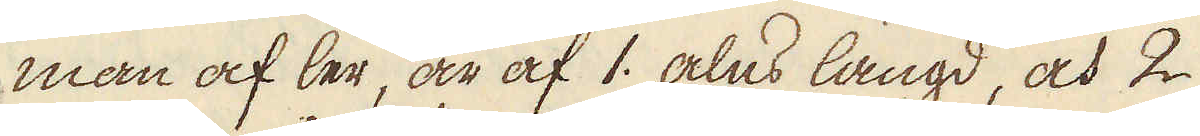man af ler, är af 1. alus längd, och 2
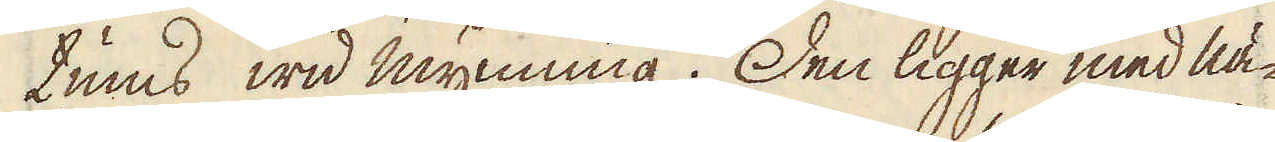tums wid mynning. Den ligger med nä-
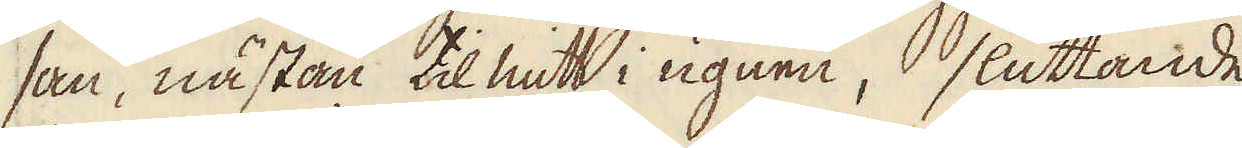san, nästan til mitt i ugnen, sluttande
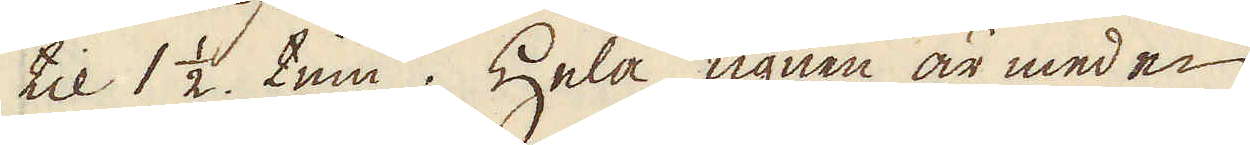til 1 1/2. tun. Hela ugnen är med en
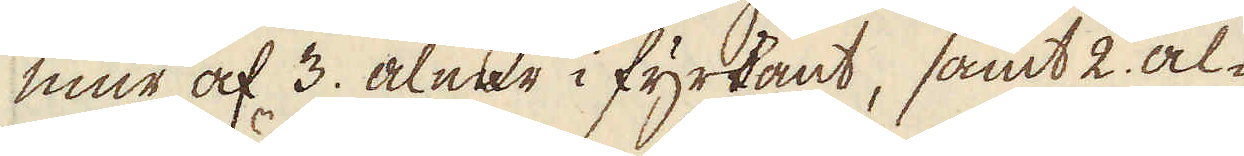mur af 3. alnar i fyrkant, samt 2. al-
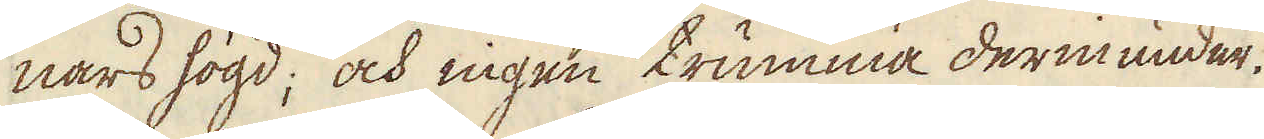nars högd; och ingen trumma derinunder.
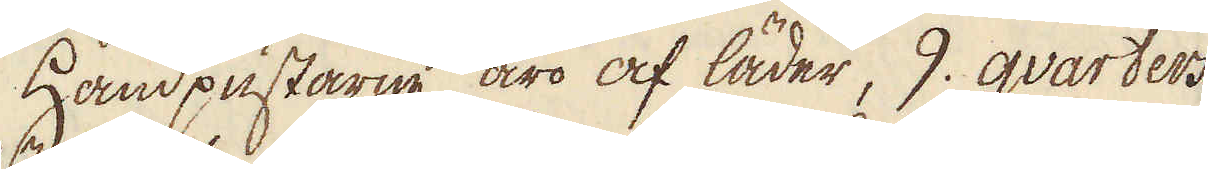Handpustarne äro af läder, 9. qvarters
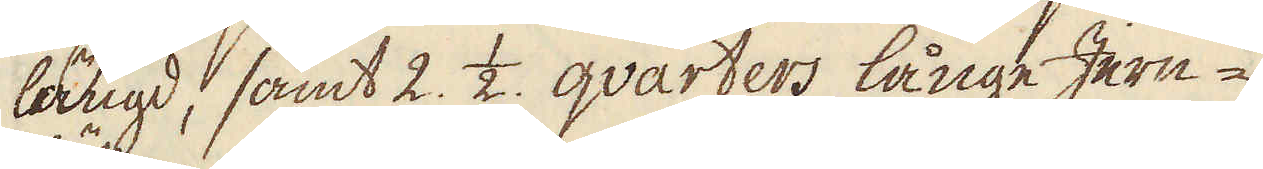längd, samt 2. 1/2. qvarters långe Jern-
